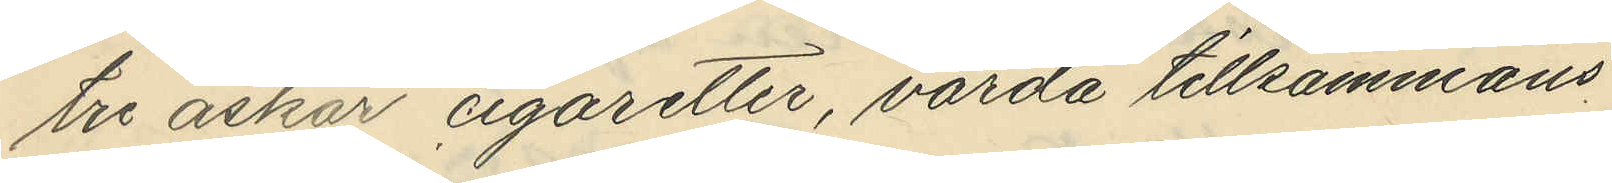tre askar cigaretter, värda tillsammans
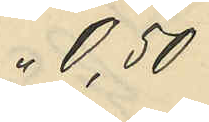0,50
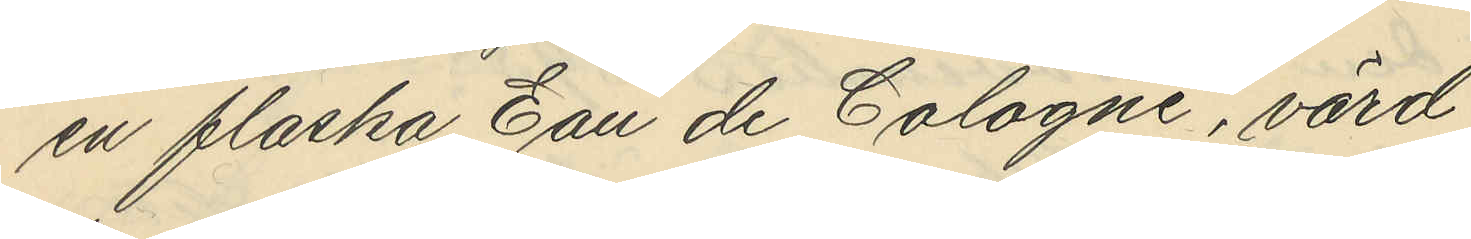en flaska Eau de Cologne, värd
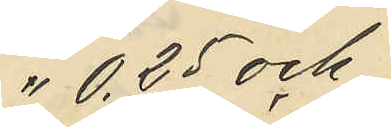0,25 och
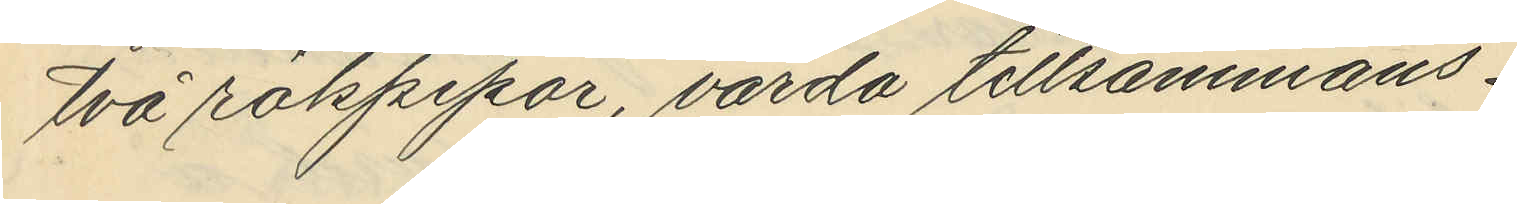två rökpipor, värda tillsammans
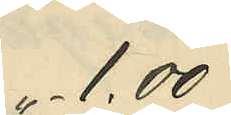" 1.00
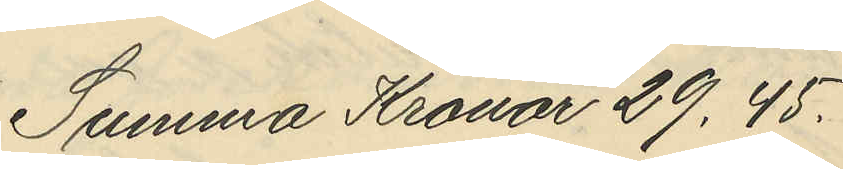Summa Kronor 29.45.
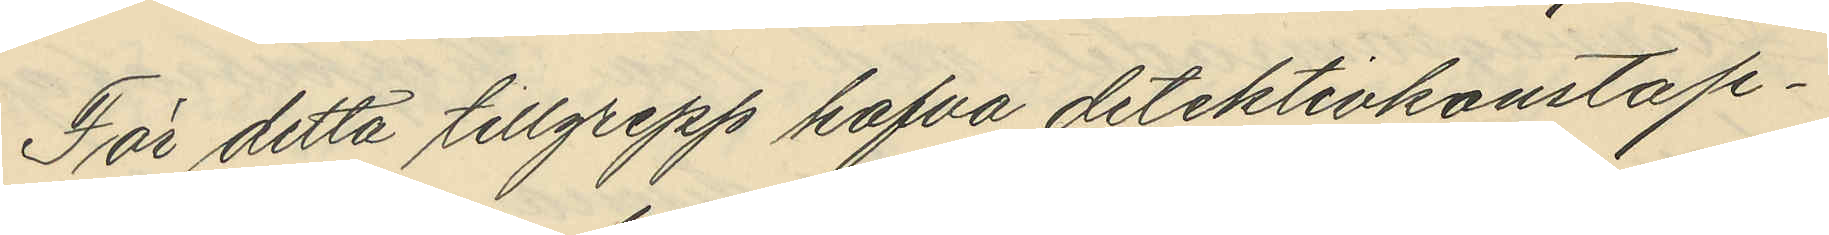För detta tillgrepp hafva detektivkonstap¬
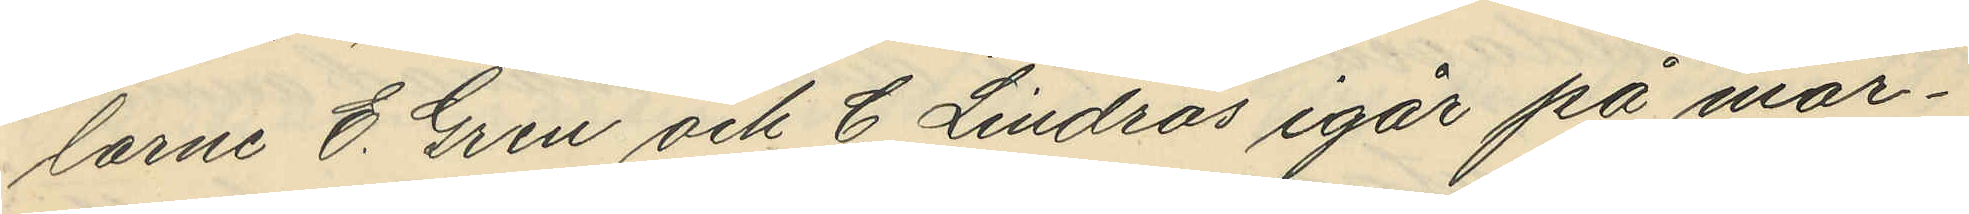larne E. Gren och C. Lindros igår på mor¬
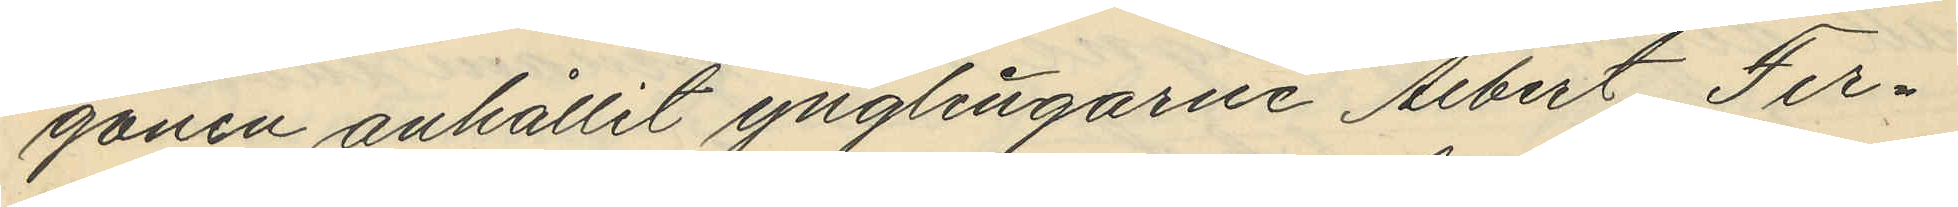gonen anhållit ynglingarne Albert Fer¬
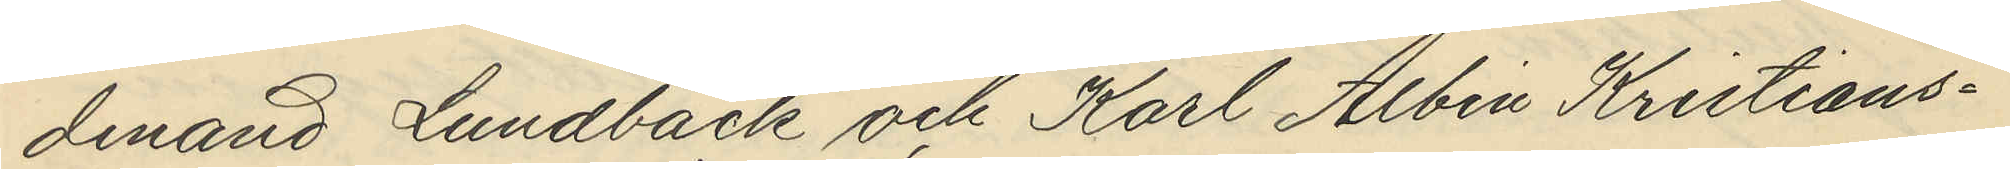dinand Lundbäck och Karl Albin Kristians¬
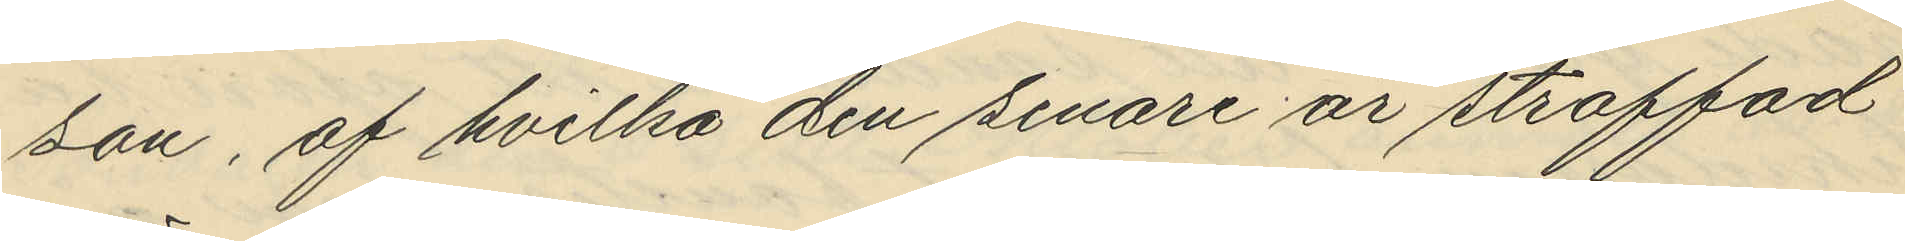son, af hvilka den senare är straffad
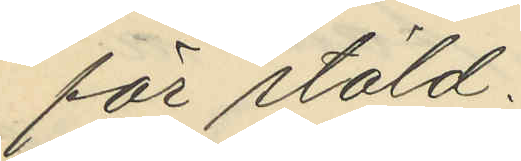för stöld.
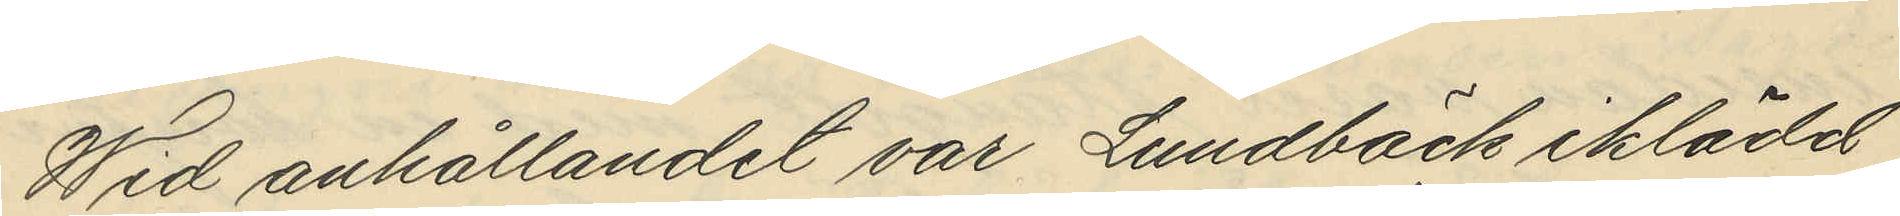Wid anhållandet var Lundbäck iklädd
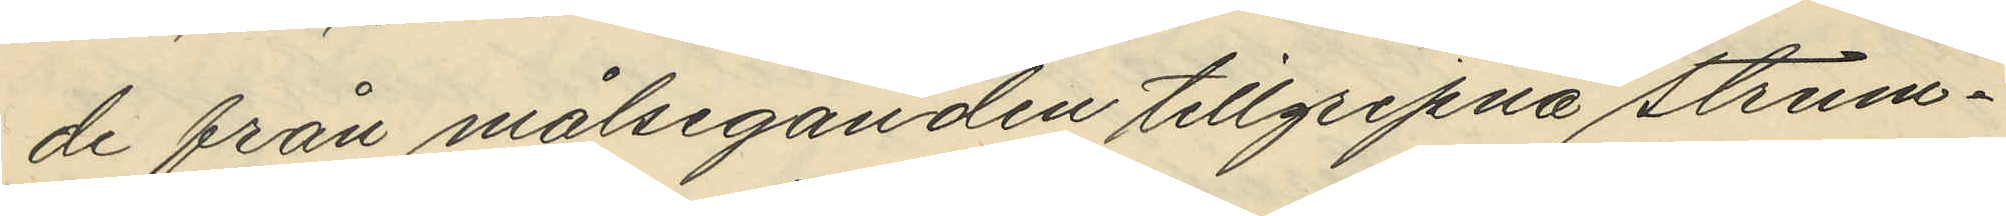de från målseganden tillgripna strum¬
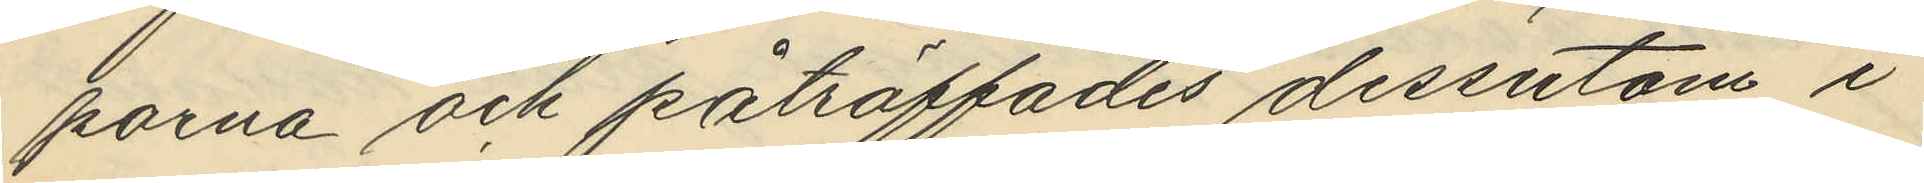porna och påträffades dessutom i
